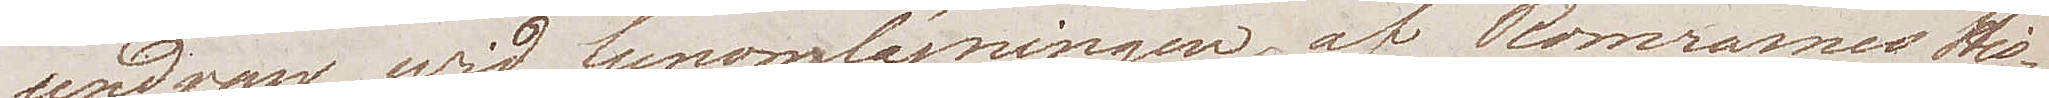undran wid genomläsningen af Romarnes His¬
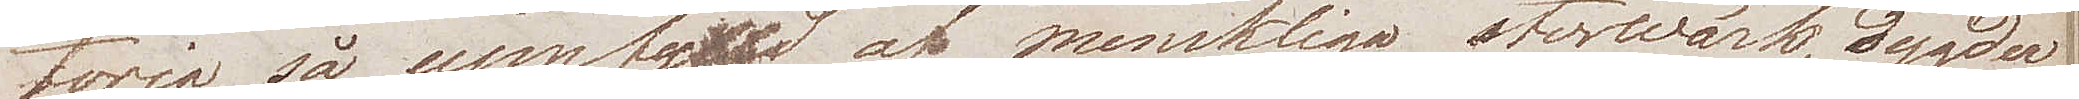toria, så uppfylld af merkliga storwärk, dygder,
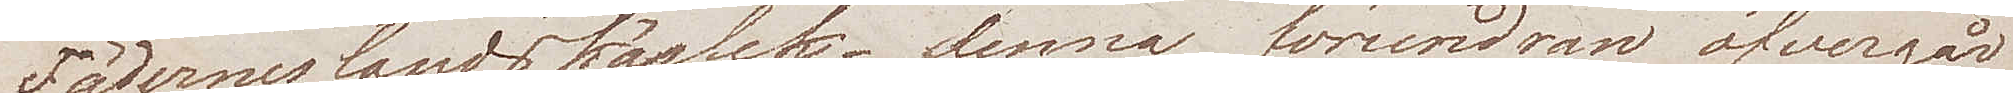Fäderneslandskärlek – denna förundran öfvergår
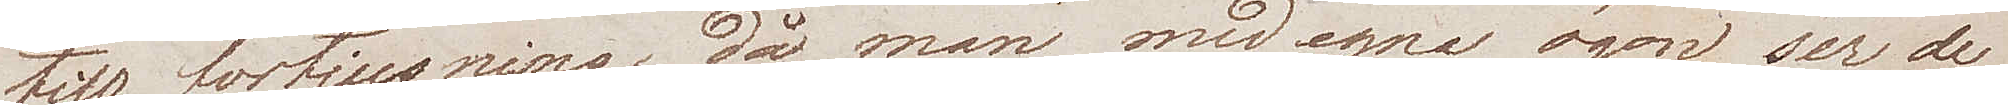till förtjusning då man med egna ögon ser de
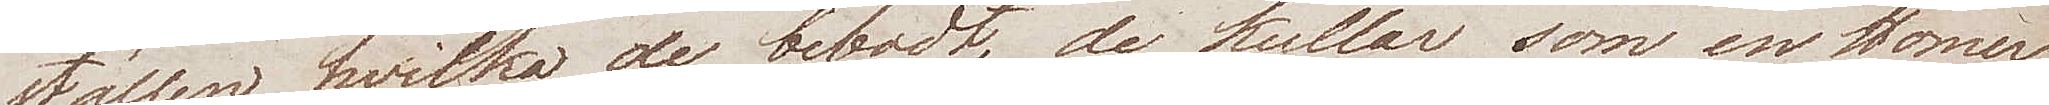ställen hvilka de bebodt, de kullar som en Homer
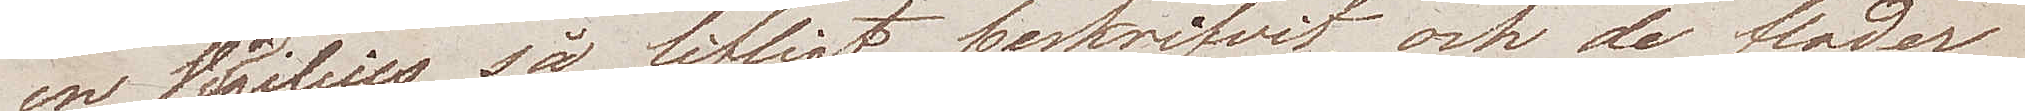en Vergilius så lifligt beskrifvit, och de floder
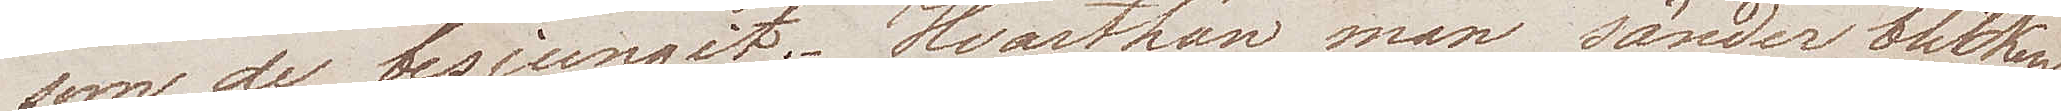som de besjungit. Hvarthän man vänder blicken,
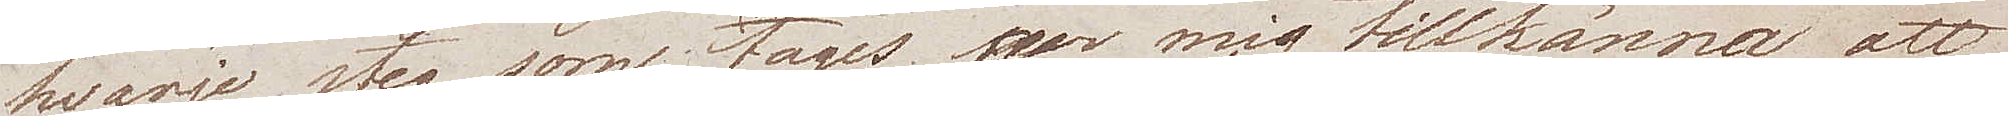hvarje steg som tages, ger mig tillkänna att
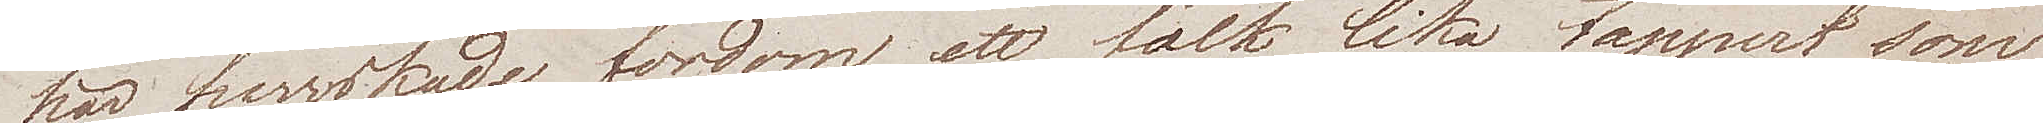här herrskade fordom ett folk lika tappert som
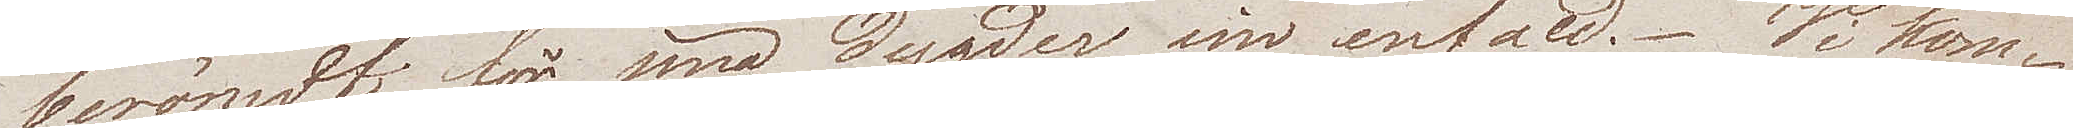berömdt för sina dygder sin enfald. Wi kom¬
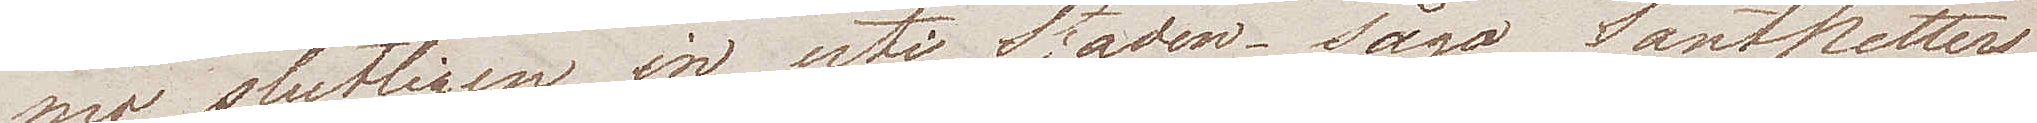mo slutligen in uti Staden – sågo SantPetters
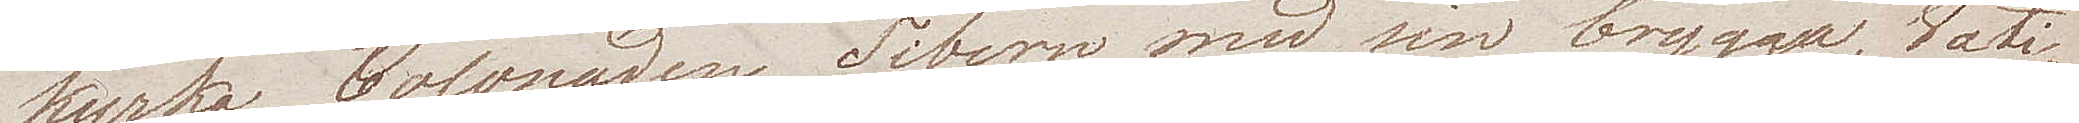kyrka, Colonaden. Tibern med sin brygga, Vati¬
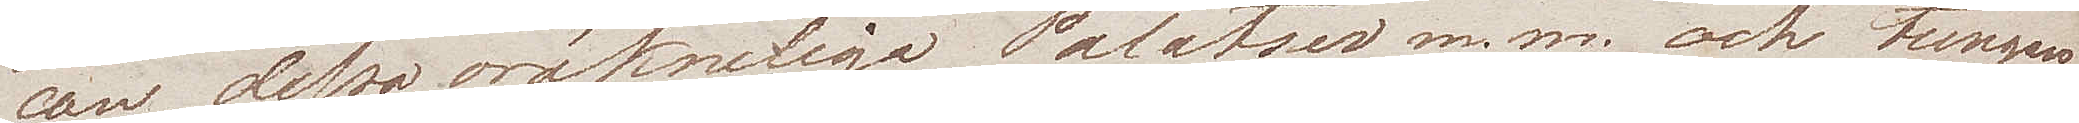can, dessa oräkneliga Palatser m.m. och tungan
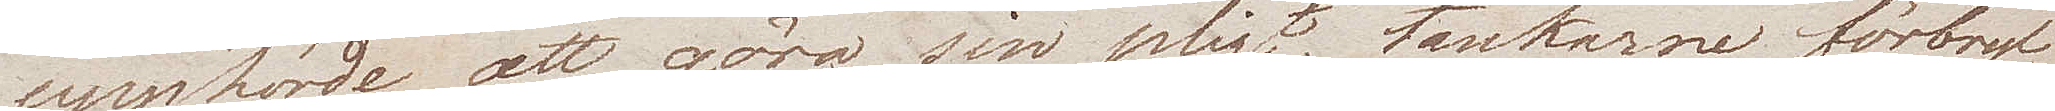upphörde att göra sin pligt, tankarne förbryl¬
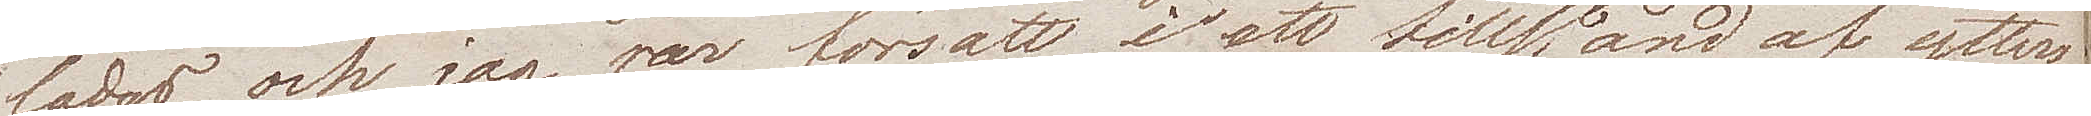lades, och jag var försatt i ett tillstånd af ytters¬
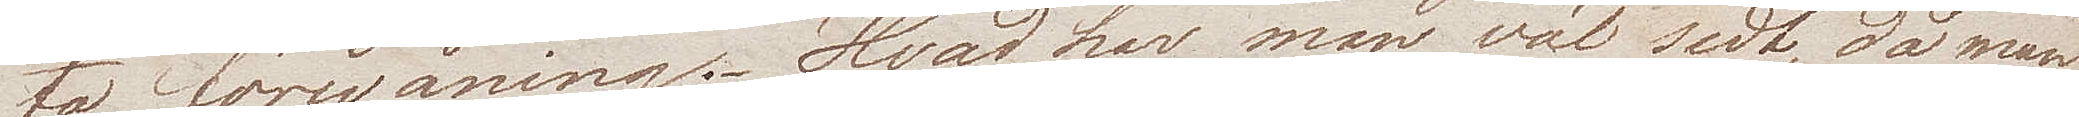ta förvåning. Hvad har man väl sedt, då man
